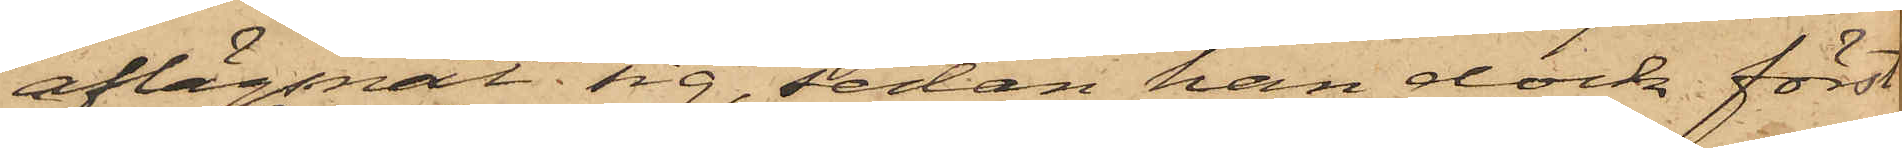aflägsnat sig, sedan han dock först
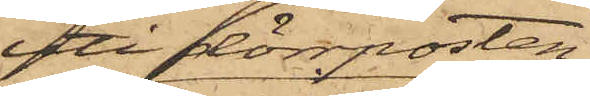uti dörrposten
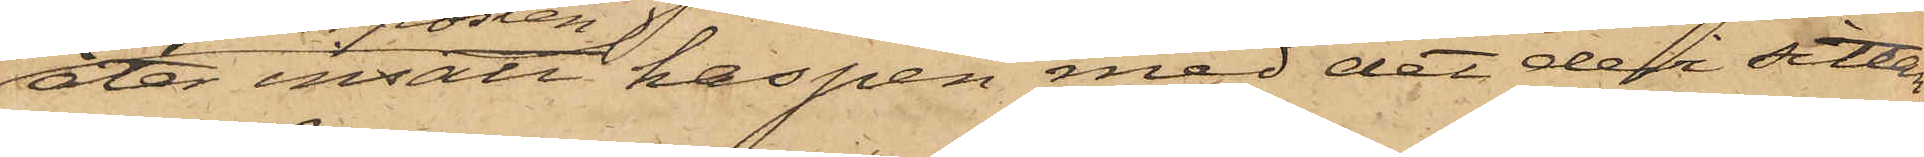åter insatt haspen med det den sittan¬
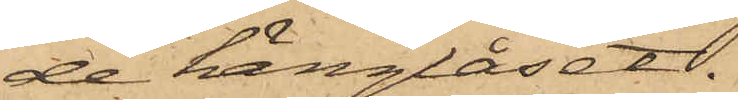de hänglåset.
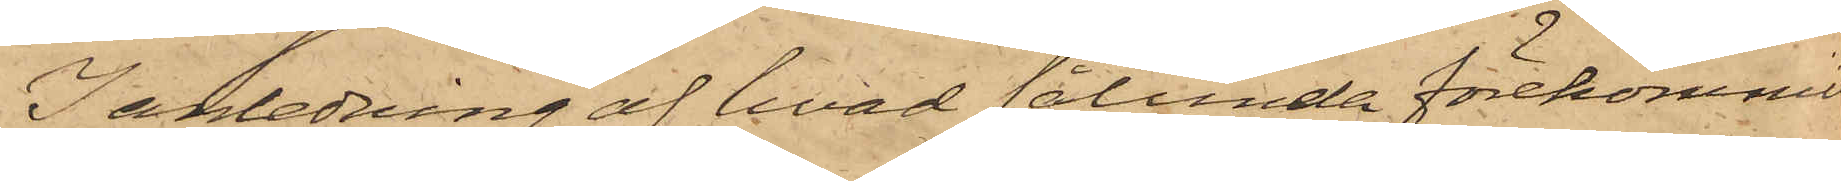I anledning af hvad sålunda förekommit
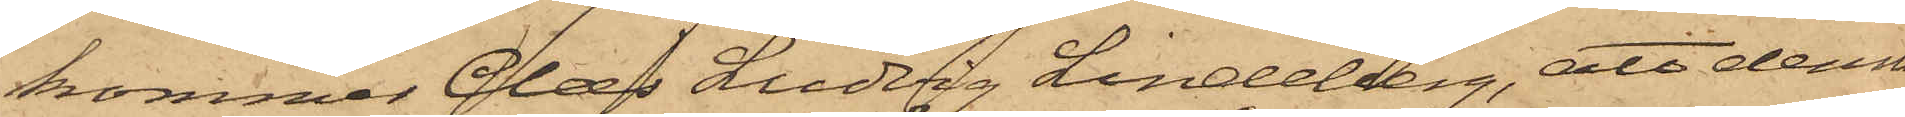kommer Claes Ludvig Lindeberg, att denna
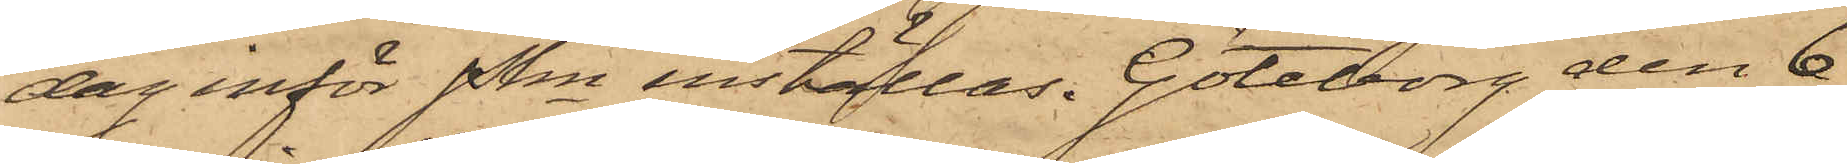dag inför Pkn inställas. Göteborg den 6
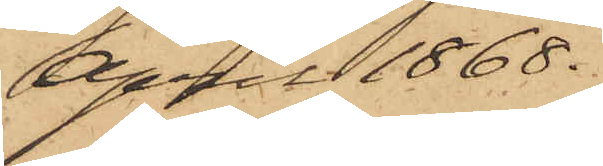April 1868.
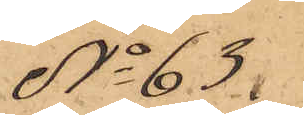No 63.
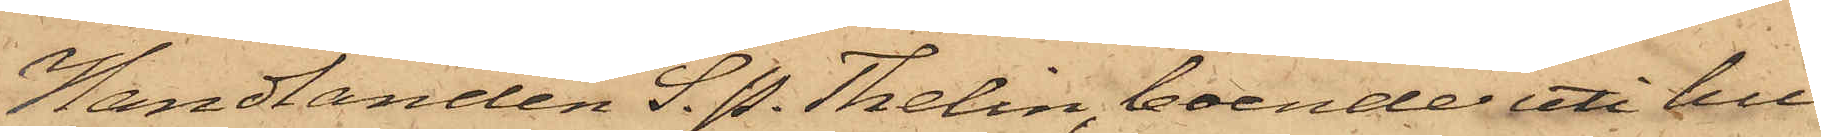Handlanden S. P. Thelin, boende uti hu¬
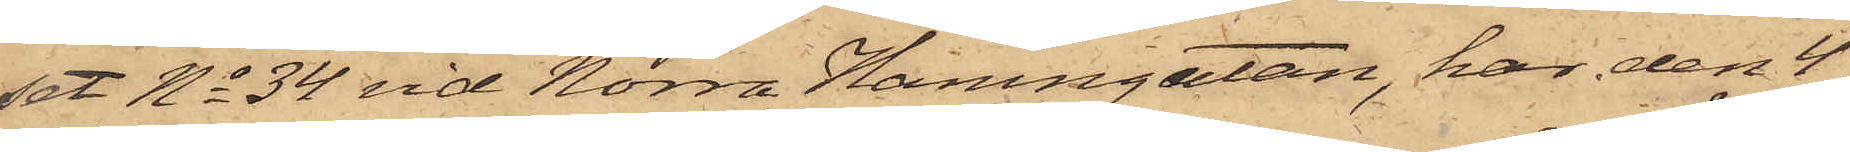set No 34 vid Norra Hamngatan, har den 4
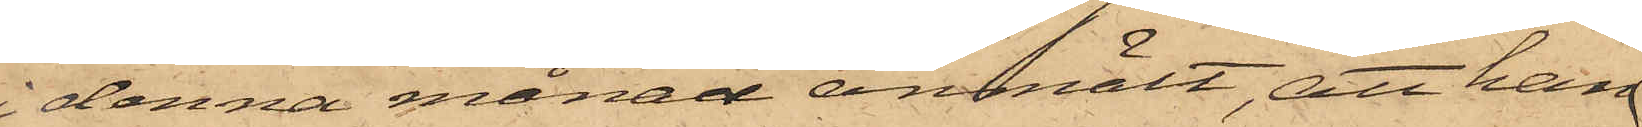i denna månad anmält, att han
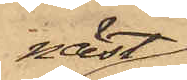näst¬
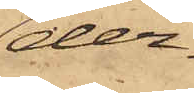der¬
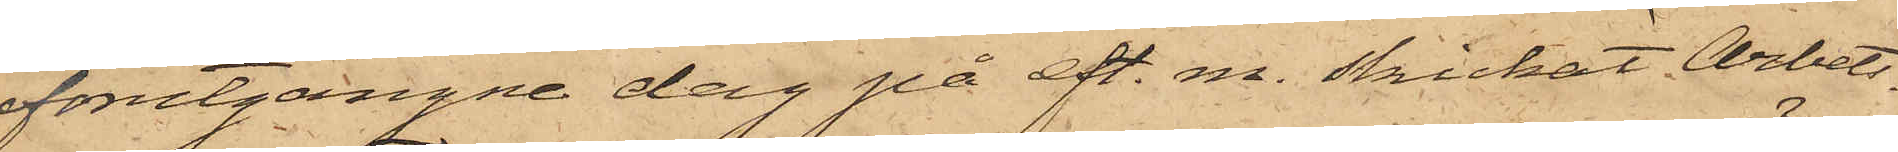förutgångne dag på eft. m. skickat Arbets¬
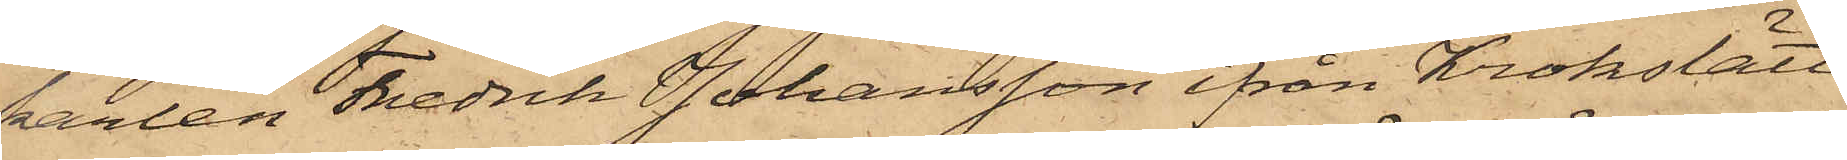karlen Fredrik Johansson ifrån Krokslätt
